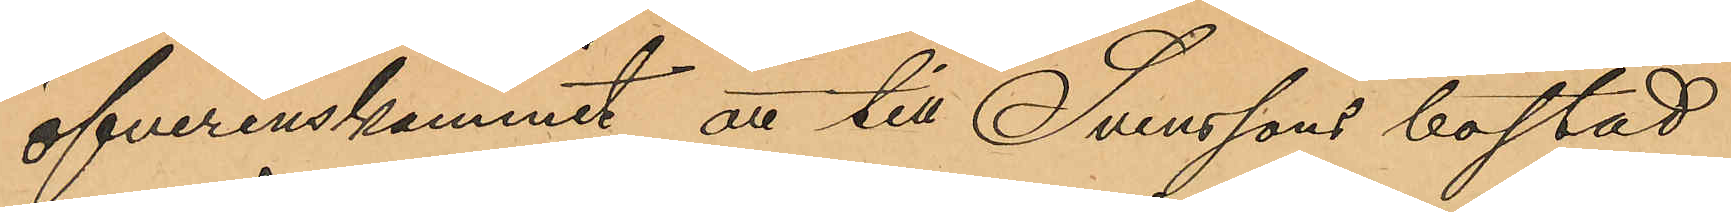öfverenskommit att till Svenssons bostad
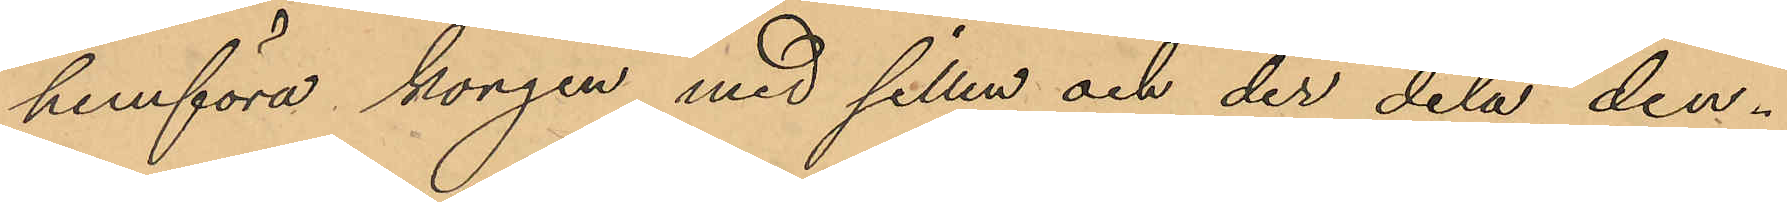hemföra korgen med sillen och der dela den¬
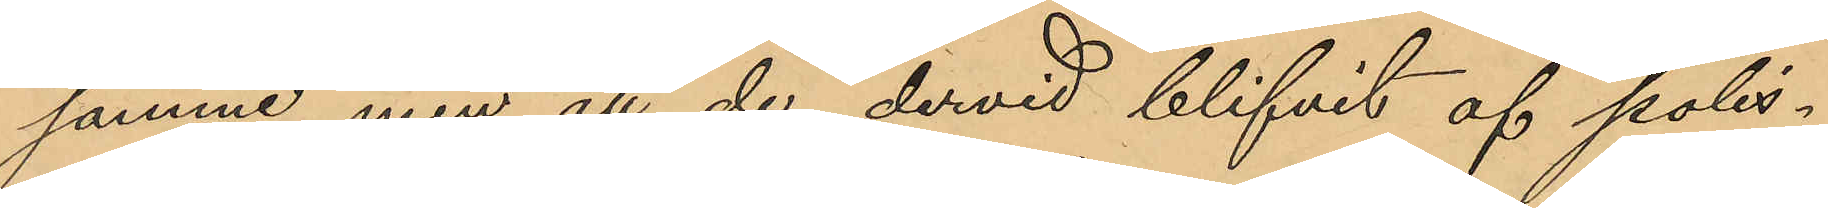samme, men att de dervid blifvit af polis¬
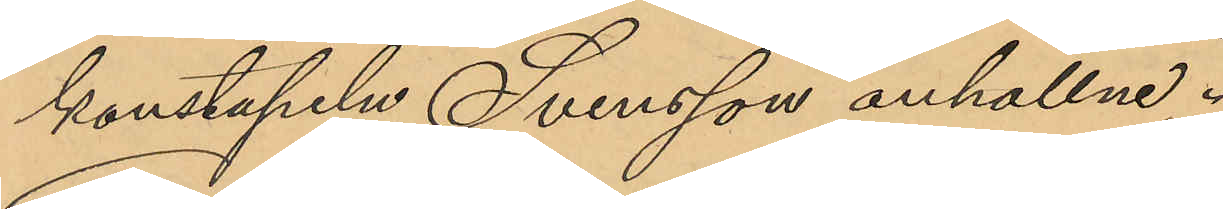konstapeln Svensson anhållne.
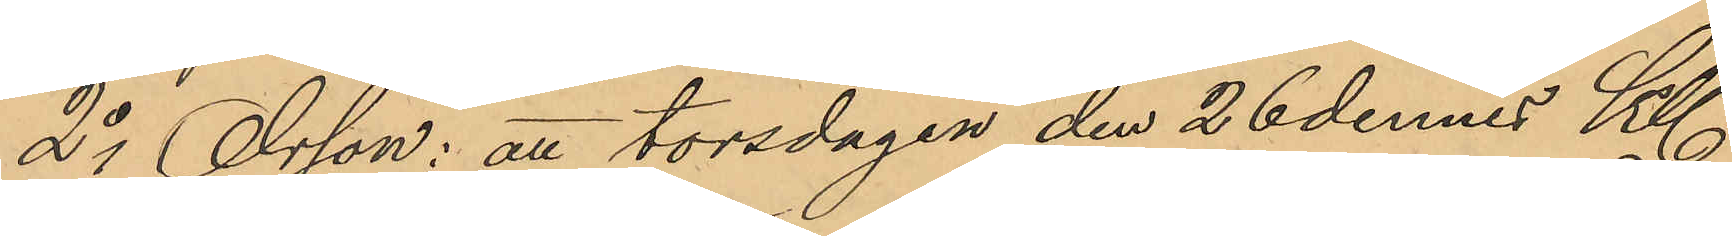2o Olsson: att torsdagen den 26 dennes Kl.
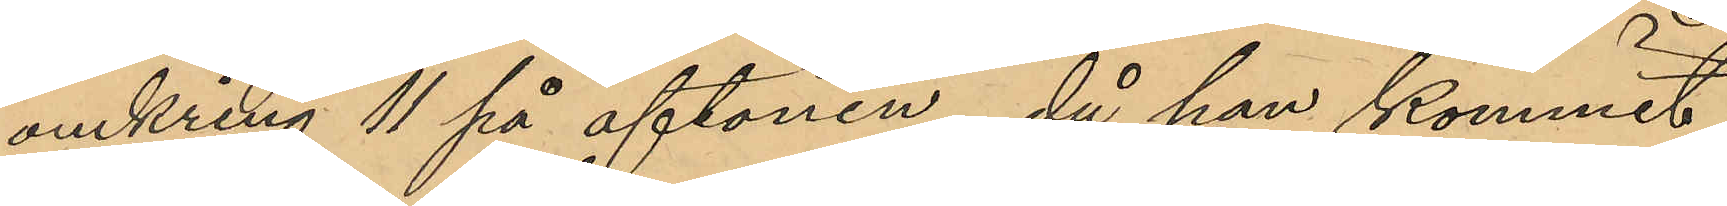omkring 11 på aftonen, då han kommit
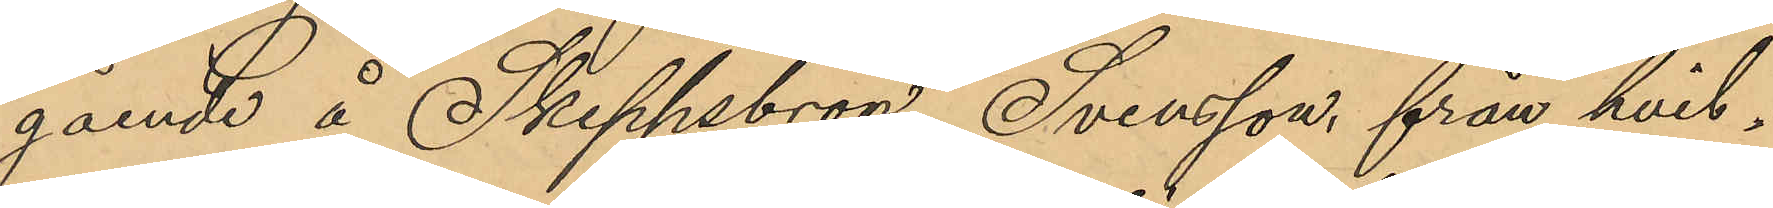gående å Skeppsbron, Svensson, från hvil¬
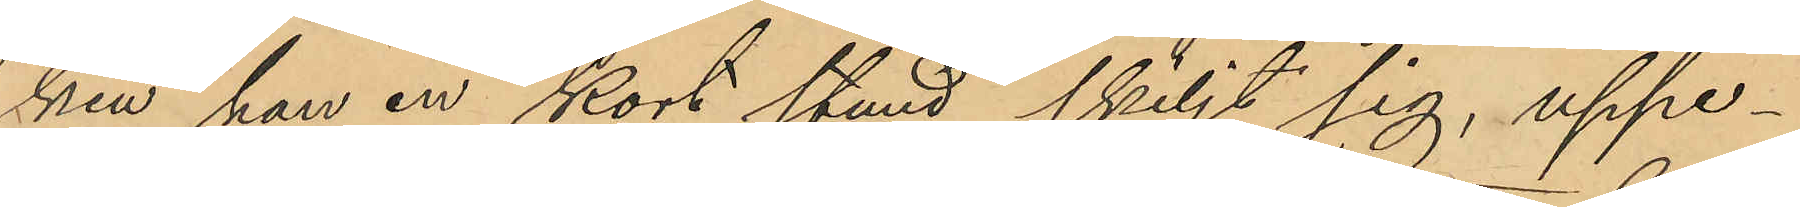ken han en kort stund skiljt sig, uppe¬
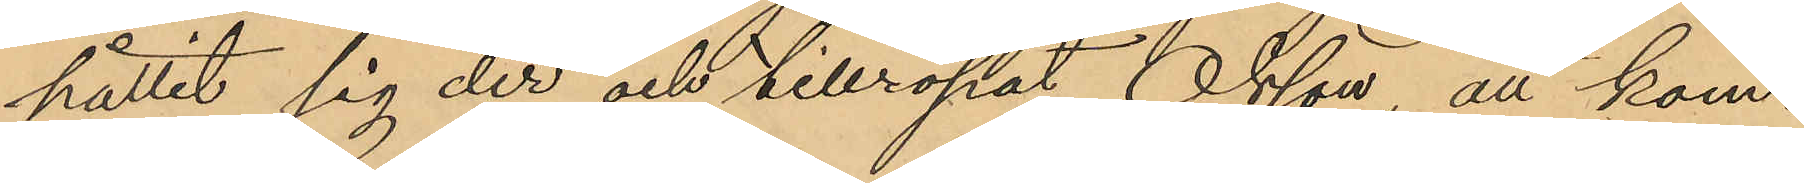hållit sig der och tillropat Olsson att kom¬
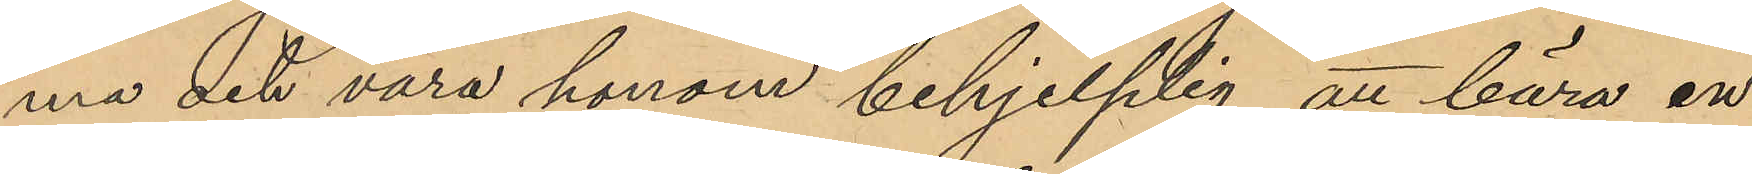ma det vara honom behjelplig att bära en
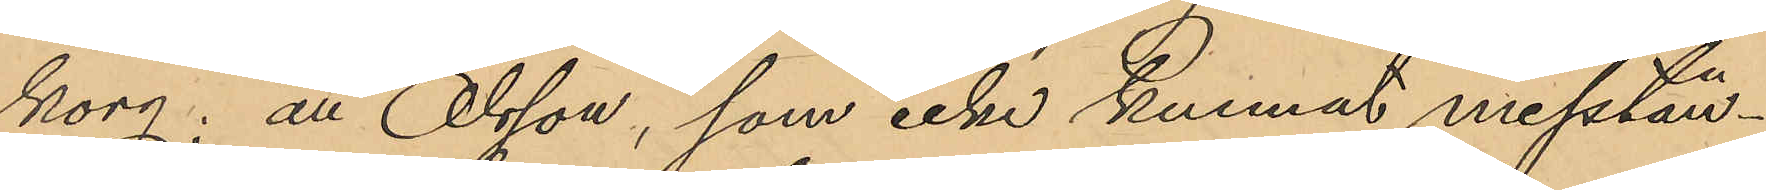korg; att Olsson, som icke kunnat misstän¬
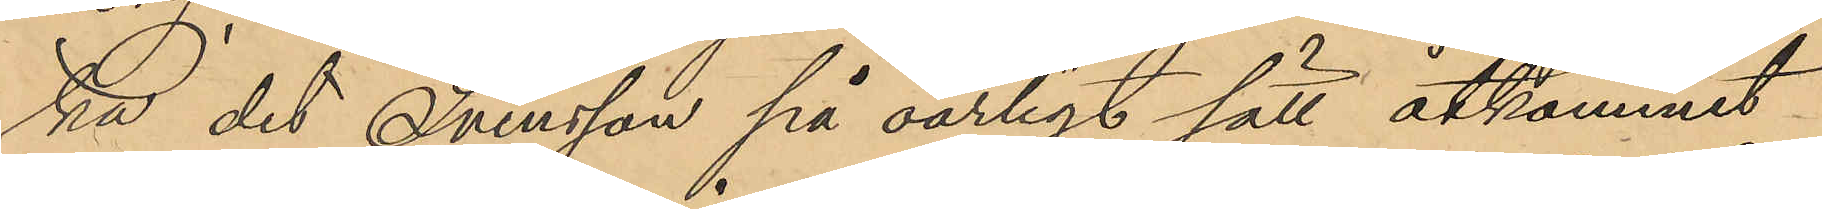ka det Svensson på oärligt sätt åtkommit
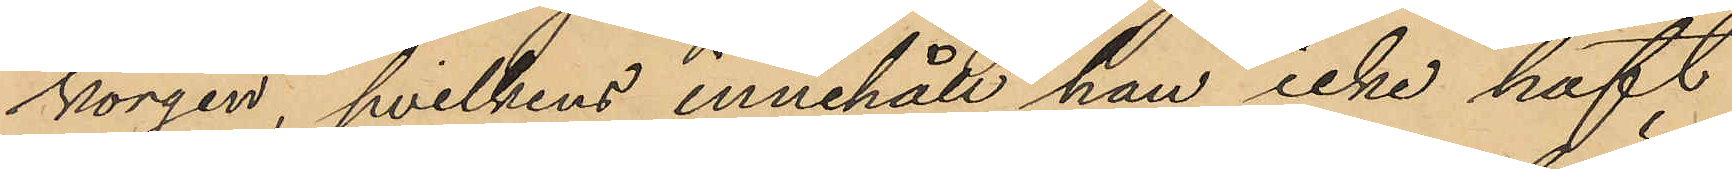korgen, hvilkens innehåll han icke haft
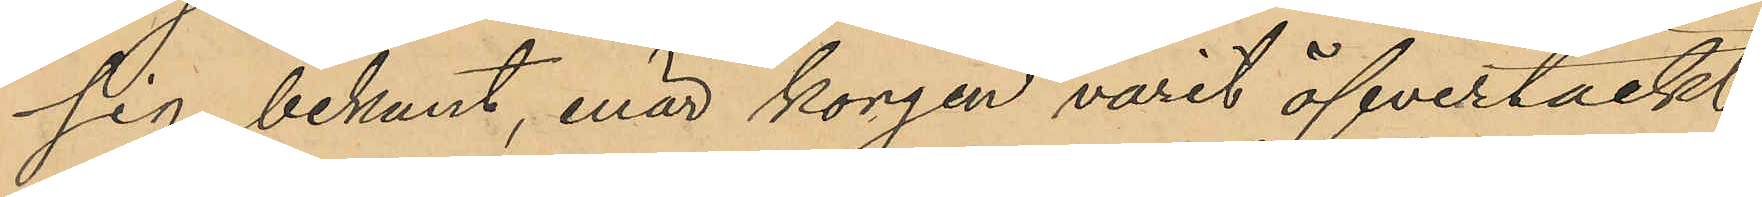sig bekant, enär korgen varit öfvertäckt
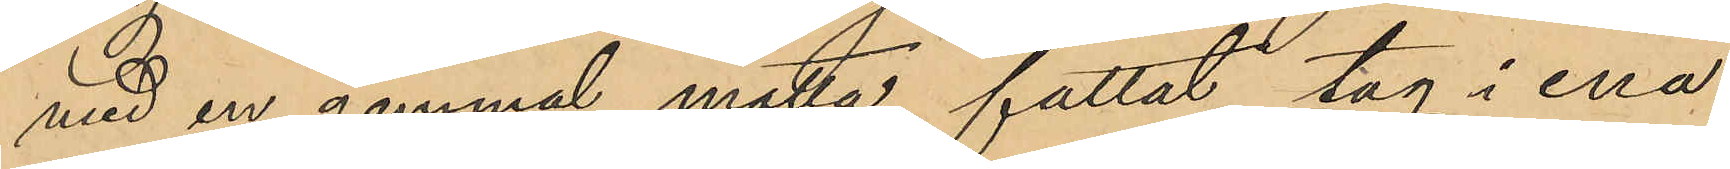med en gammal matta, fattat tag i ena
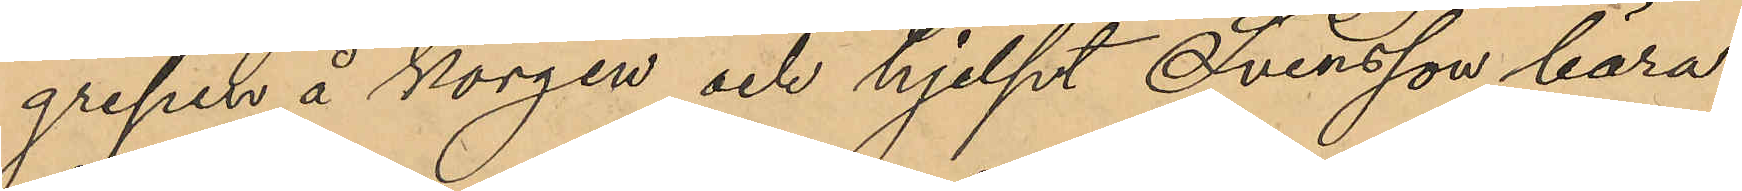grepen å korgen och hjelpt Svensson bära
